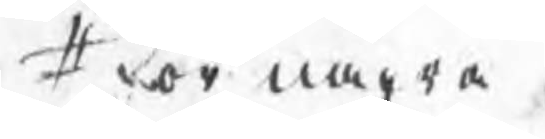# för några
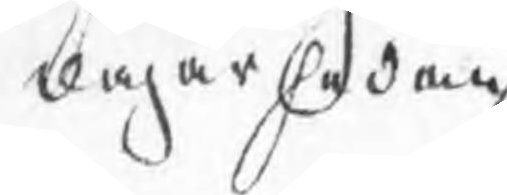dagar sedan
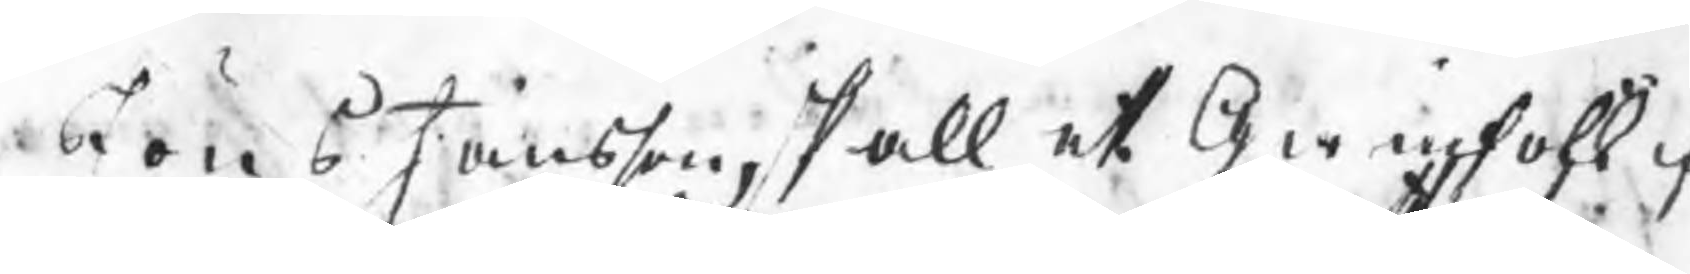Jöns Jansson, skall et Qwinfolk fr
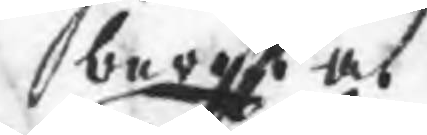berätta
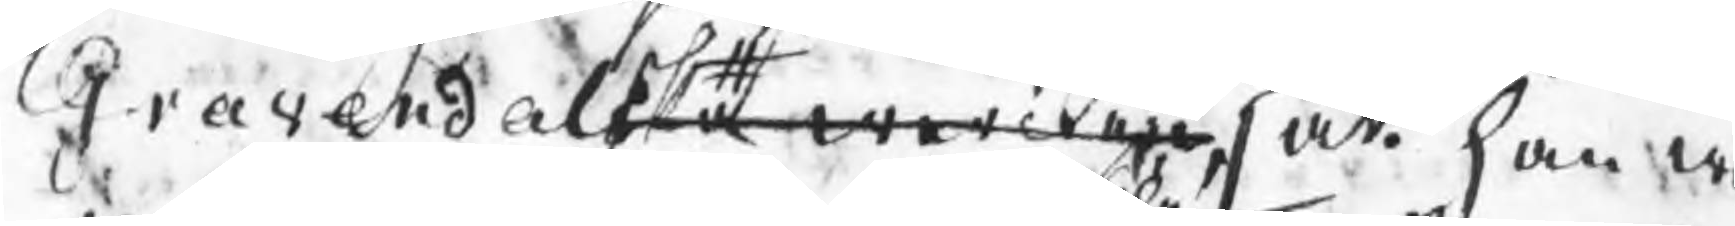Gravendalska wercken, att ha w
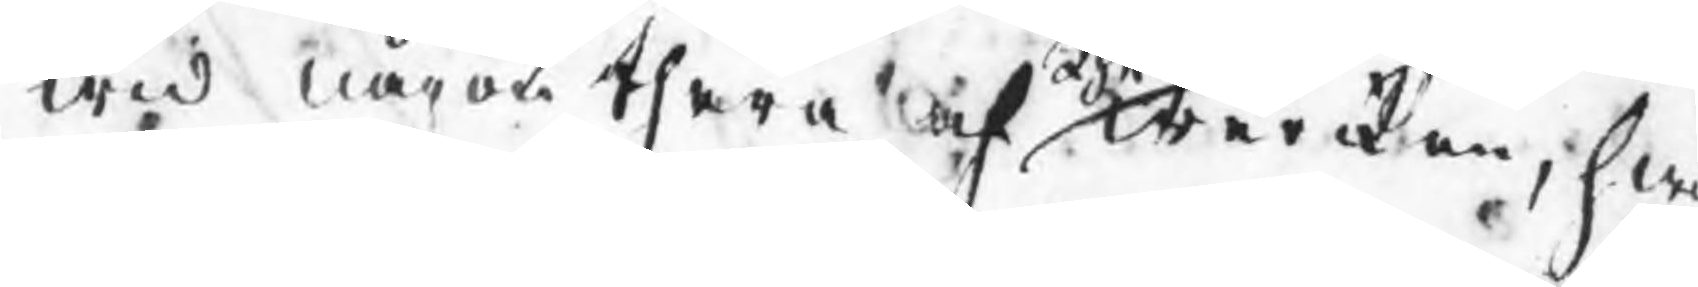wid någon thera af dhe werken, hwi
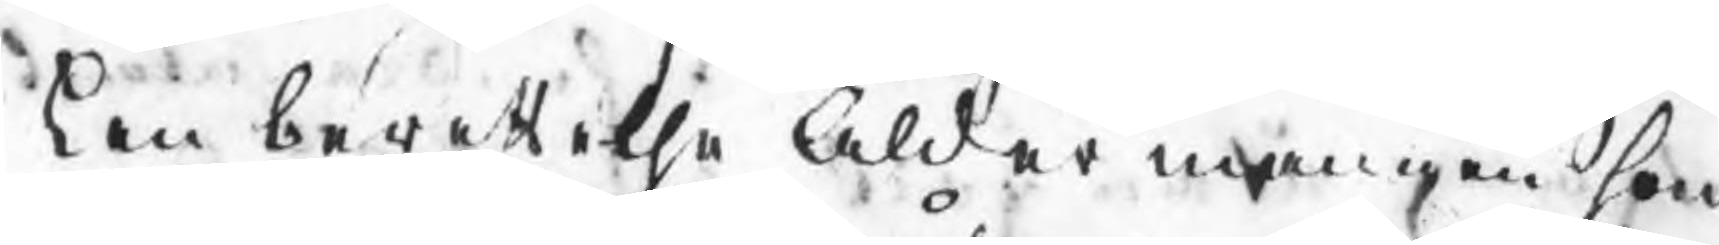ken berättelse Åldermannen som
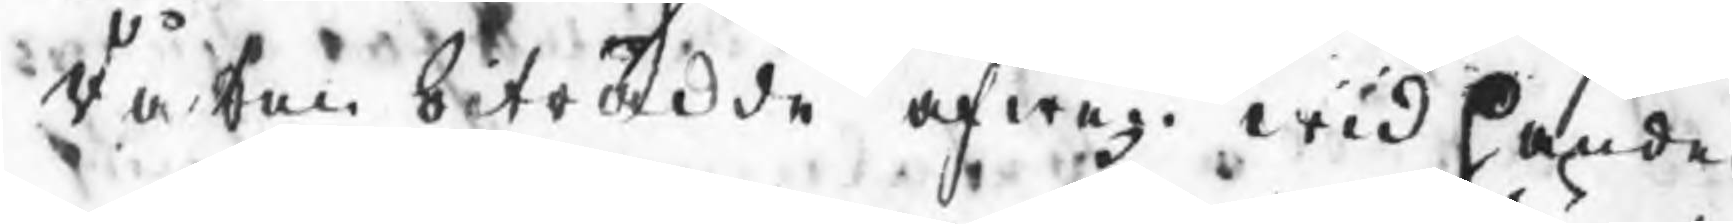då han biträdde äfwen wid handen
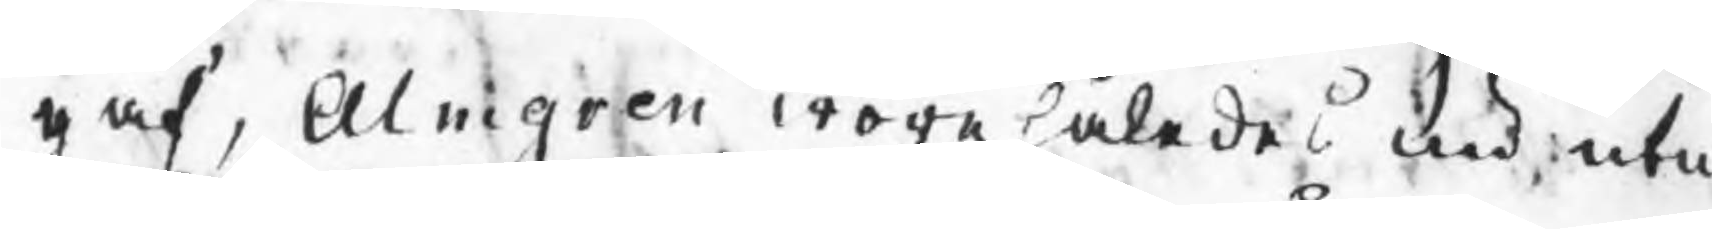gaf, Almgren wore således nu utur
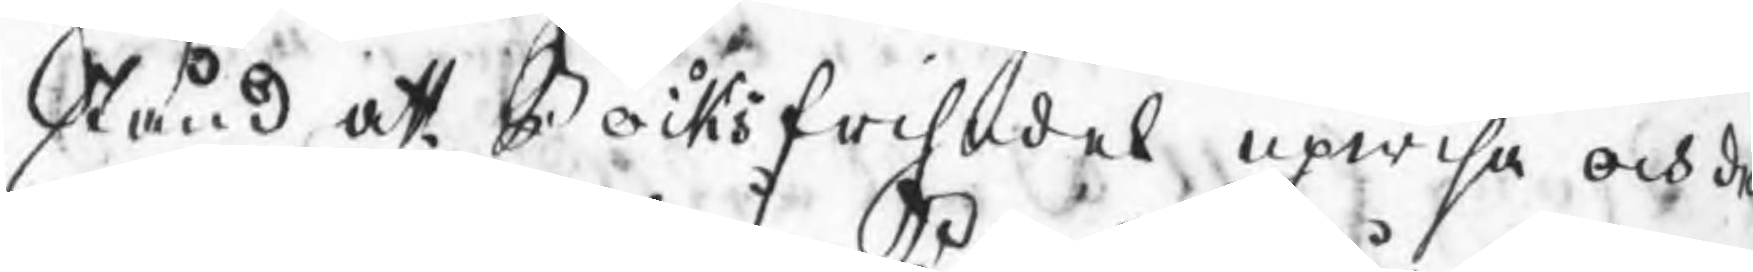stånd att Bocks frisedel upwisa och de
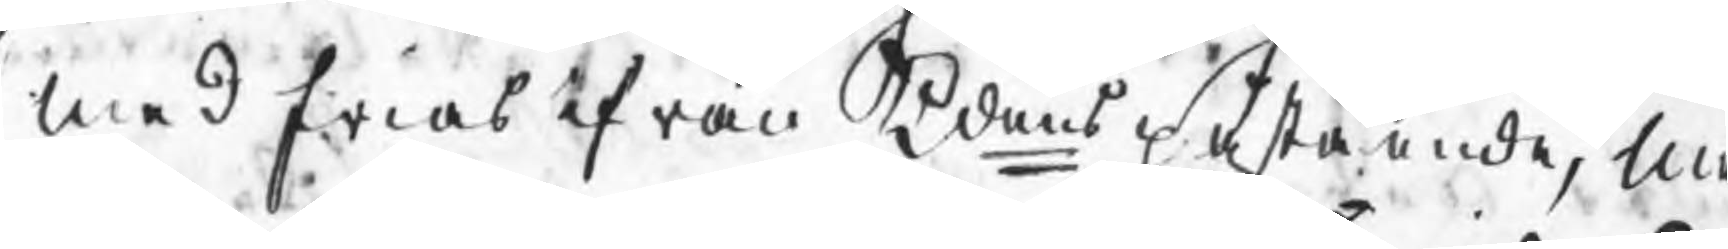med frias ifrån Kdens påstående, M
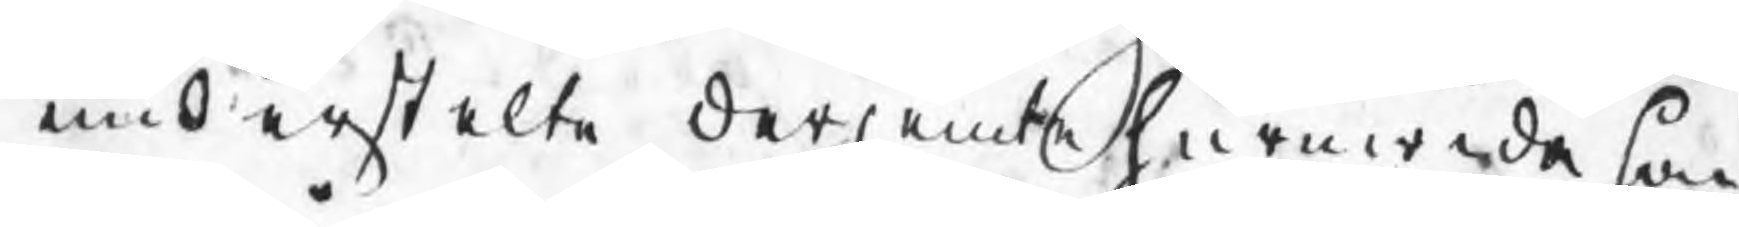understelte derjemte huruwida han
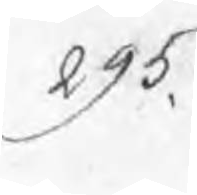295.
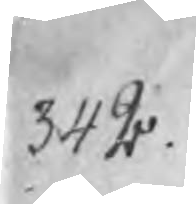342
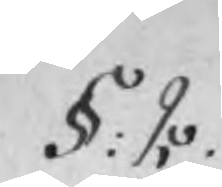§: 2.
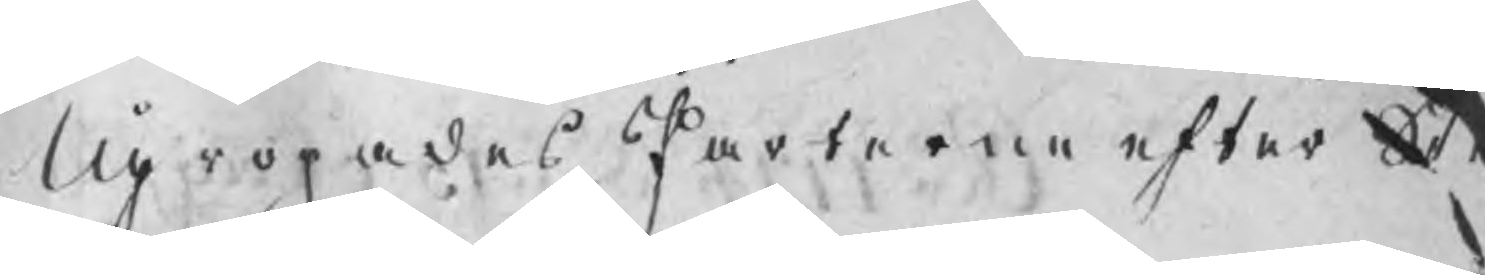Upropades Parterne efter Stem
